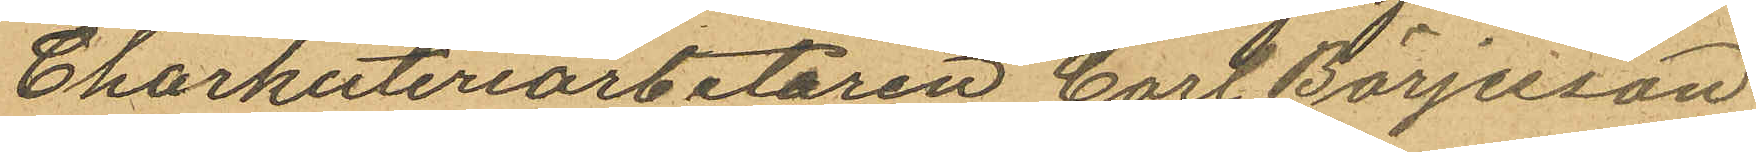Charkuteriarbetaren Carl Börjesson
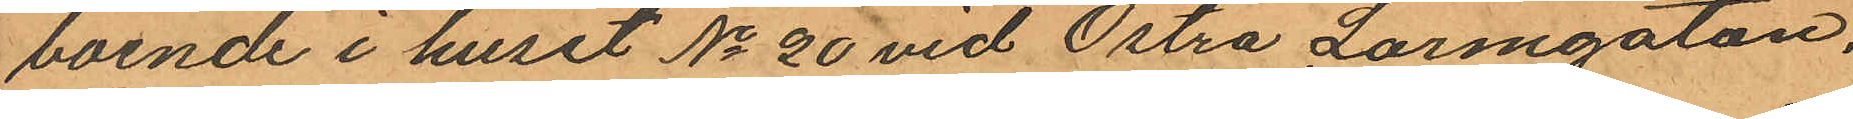boende i huset No 20 vid Östra Larmgatan,
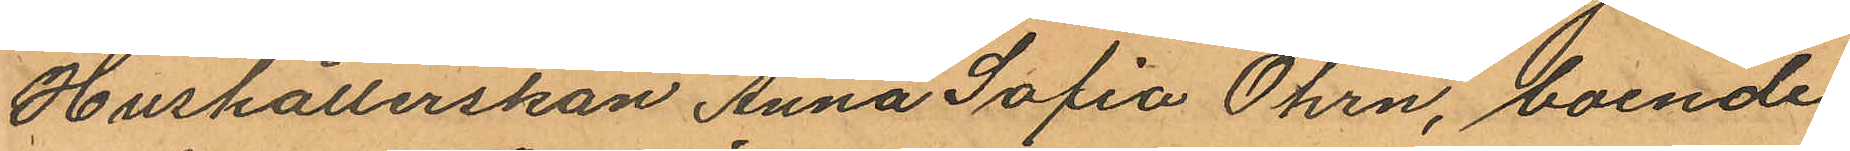Hushållerskan Anna Sofia Öhrn, boende
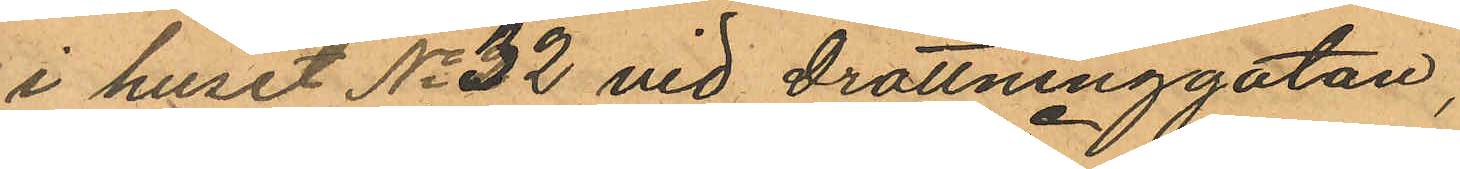i huset No 32 vid Drottninggatan,
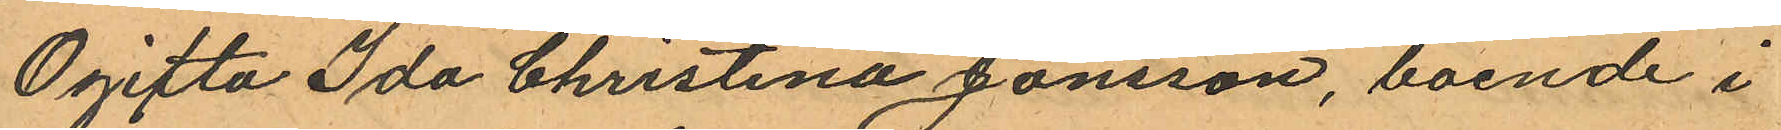Ogifta Ida Christina Jonsson, boende i
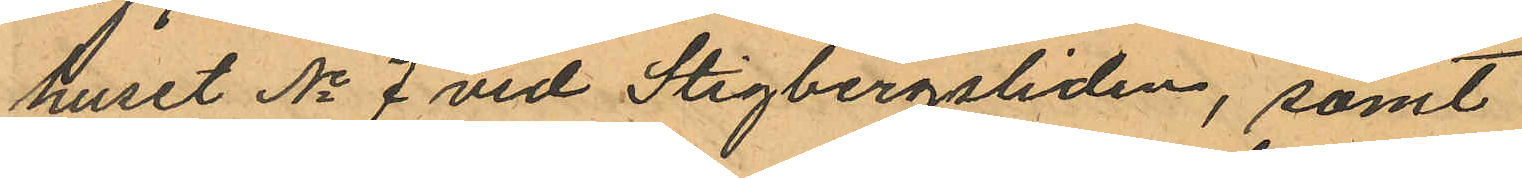huset No 7 vid Stigbergsliden, samt
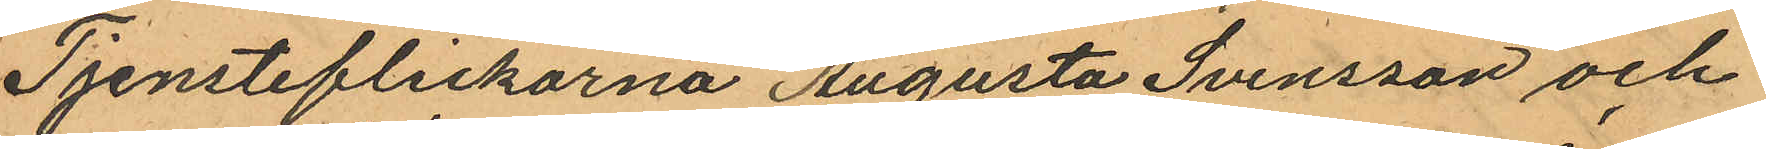Tjensteflickorna Augusta Svensson och
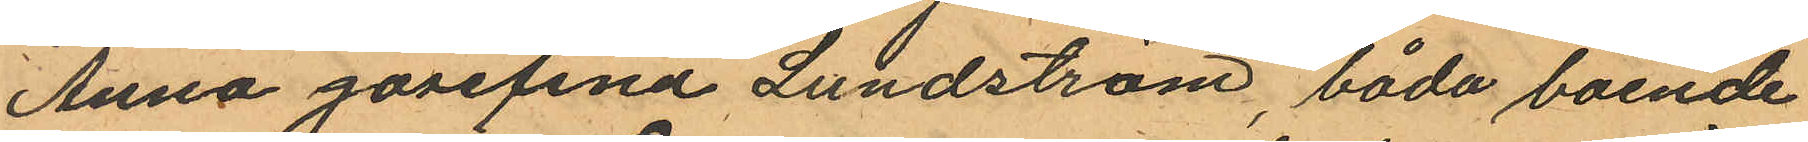Anna Josefina Lundström, båda boende
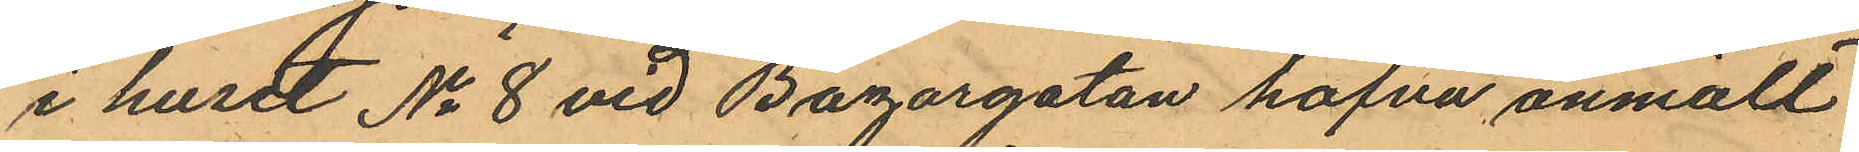i huset No 8 vid Bazargatan hafva anmält
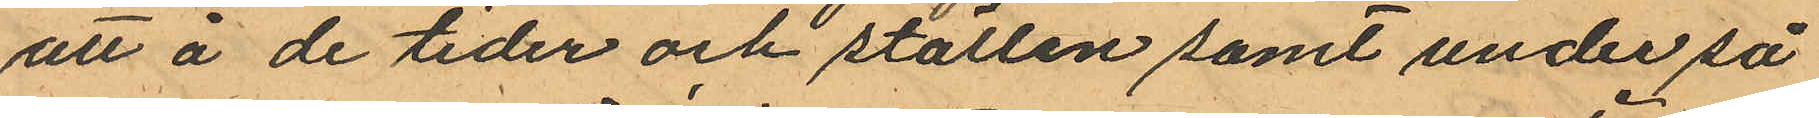att å de tider och ställen samt under så
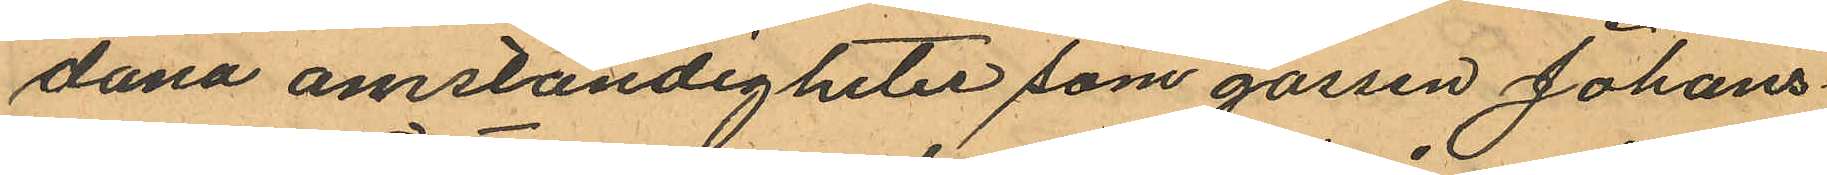dana omständigheter som gossen Johans¬
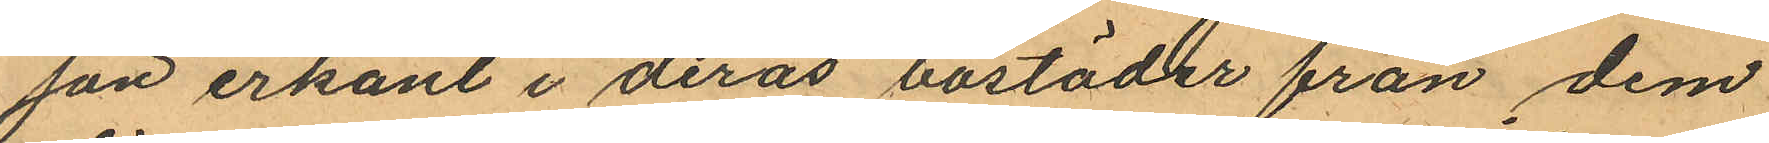son erkänt i deras bostäder från dem
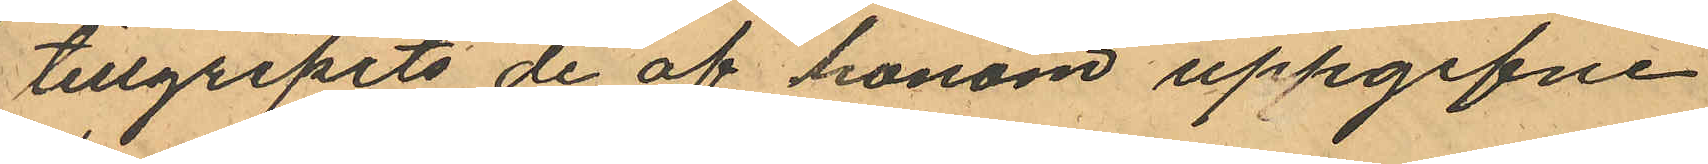tillgripits de af honom uppgifne
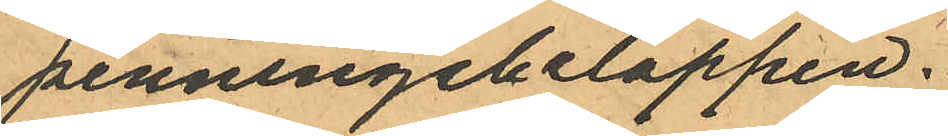penningebeloppen.
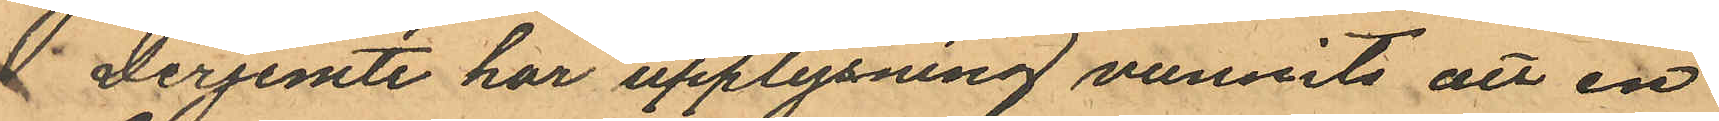 Derjemte har upplysning vunnits att en
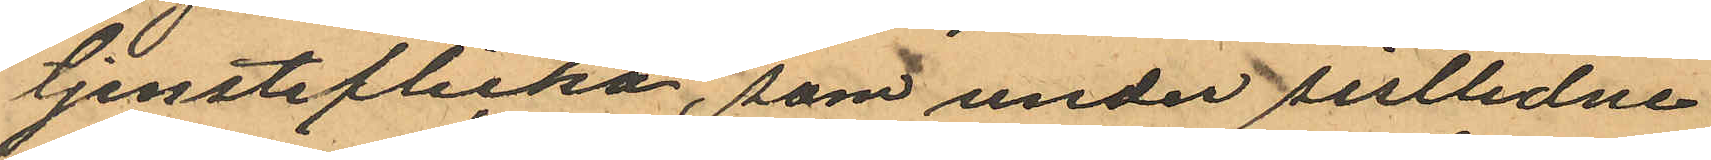tjensteflicka, som under sistlidne
